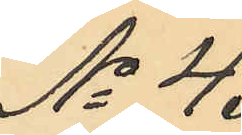No 4.
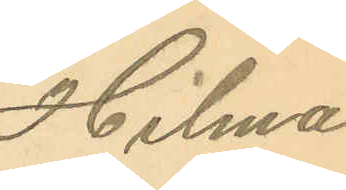Hilma
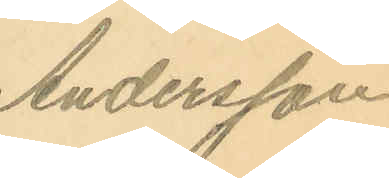Andersson.
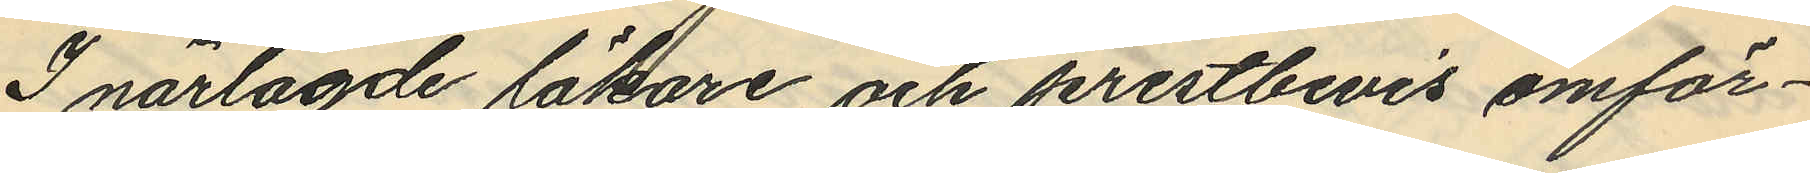I närlagde läkare och prestbevis omför¬
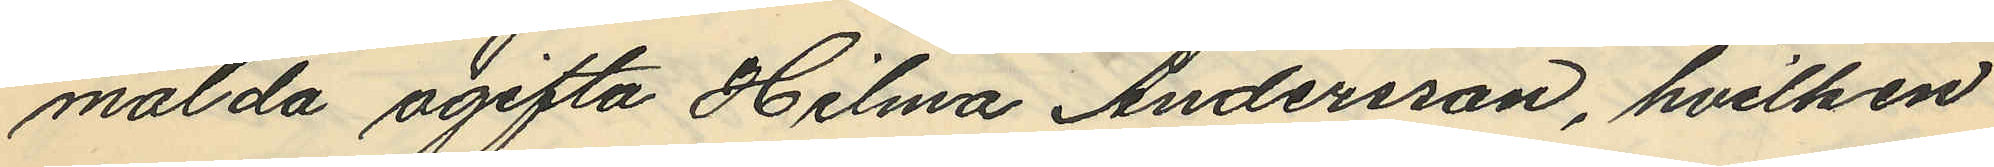mälda ogifta Hilma Andersson, hvilken
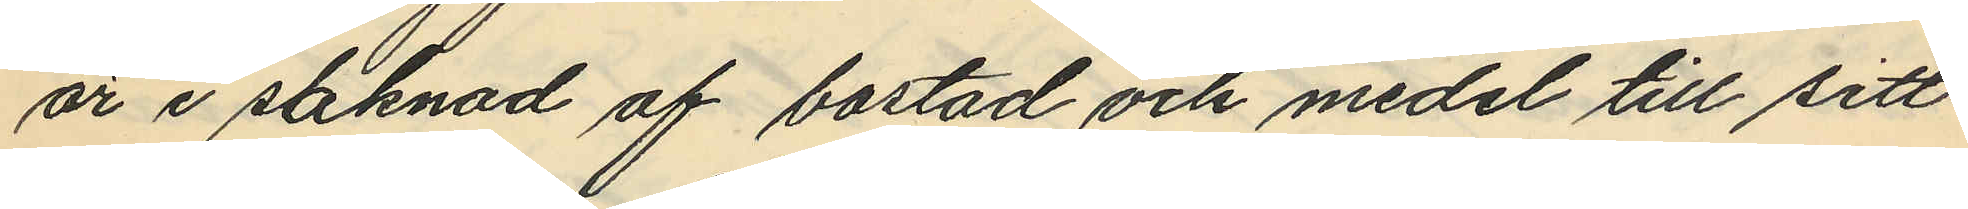är i saknad af bostad och medel till sitt
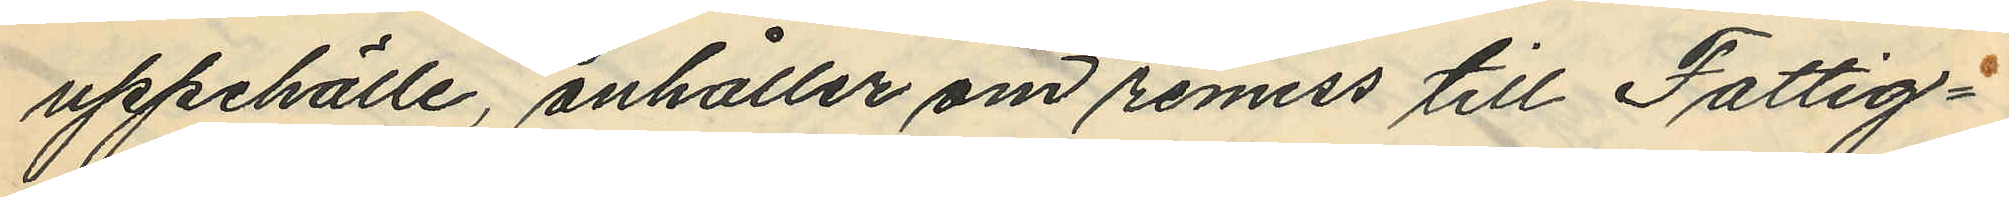uppehälle, anhåller om remiss till Fattig¬
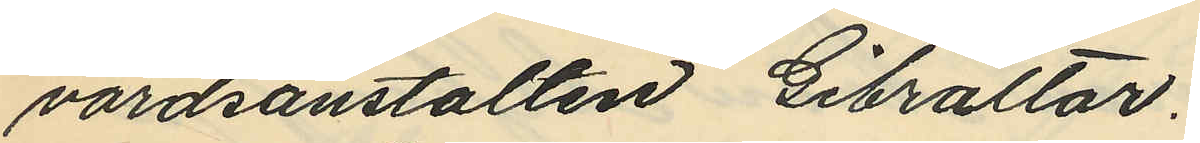vårdsanstalten Gibraltar.
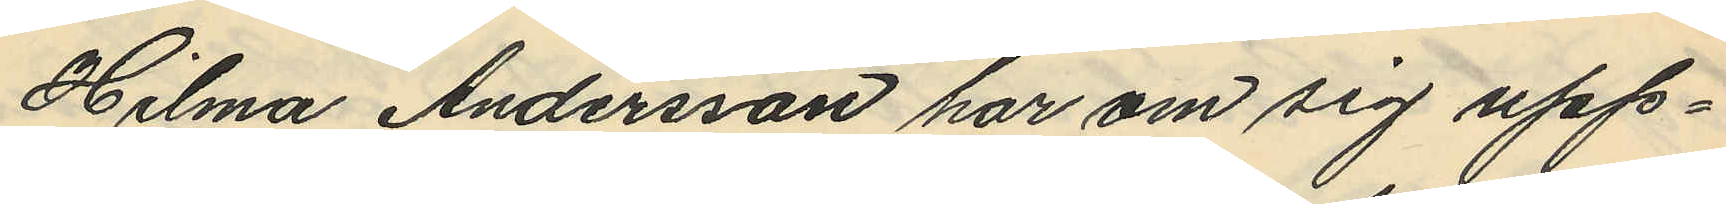Hilma Andersson har om sig upp¬
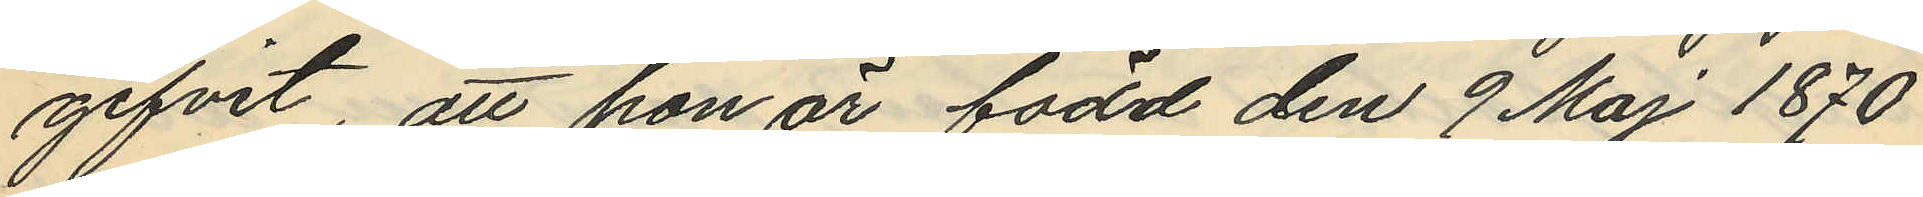gifvit, att hon är född den 9 Maj 1870.
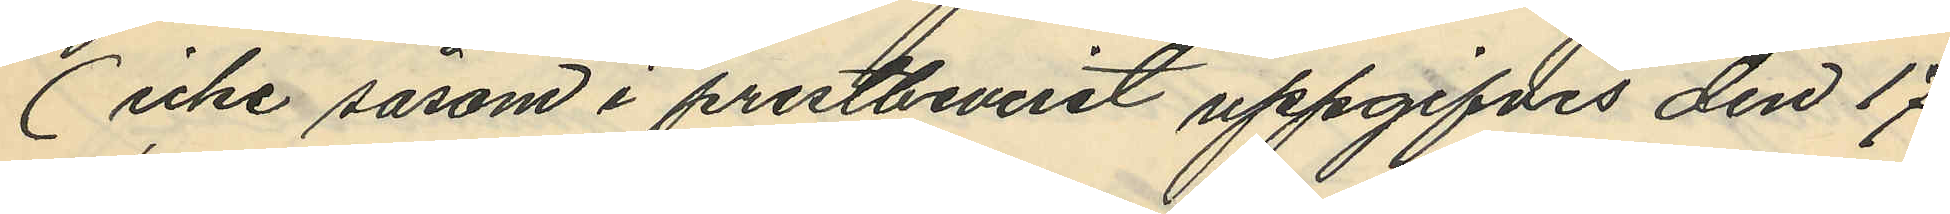(icke såsom i prestbeviset uppgifves den 17
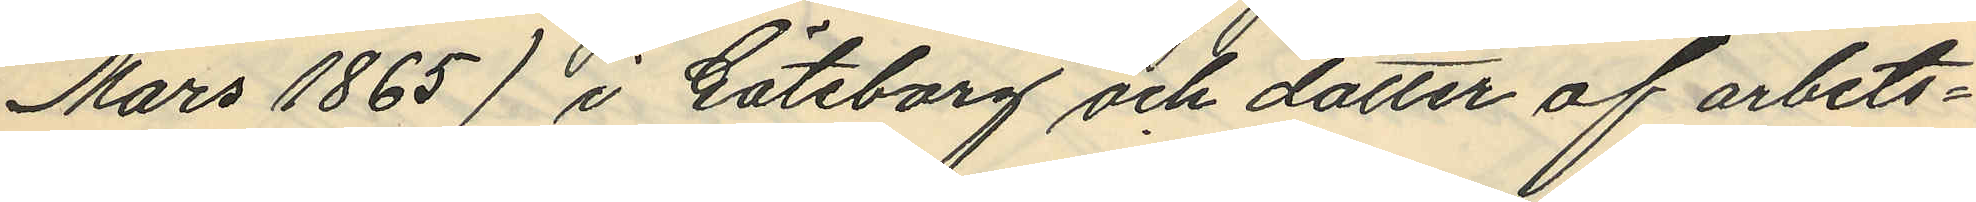Mars 1885) i Göteborg och dotter af arbets¬
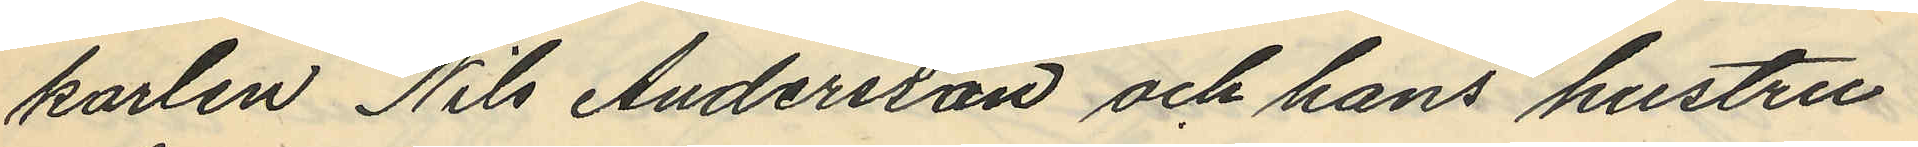karlen Nils Andersson och hans hustru
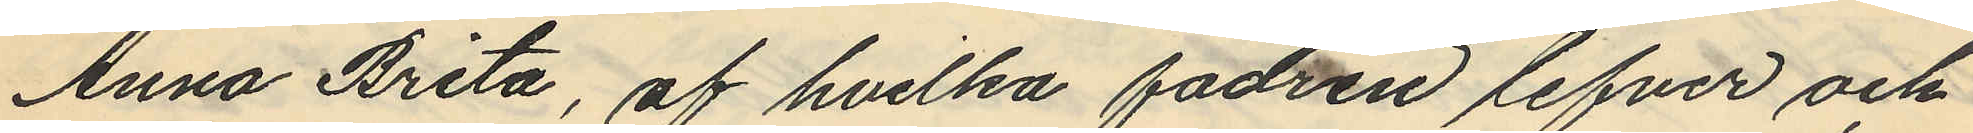Anna Brita, af hvilka fadren lefver och
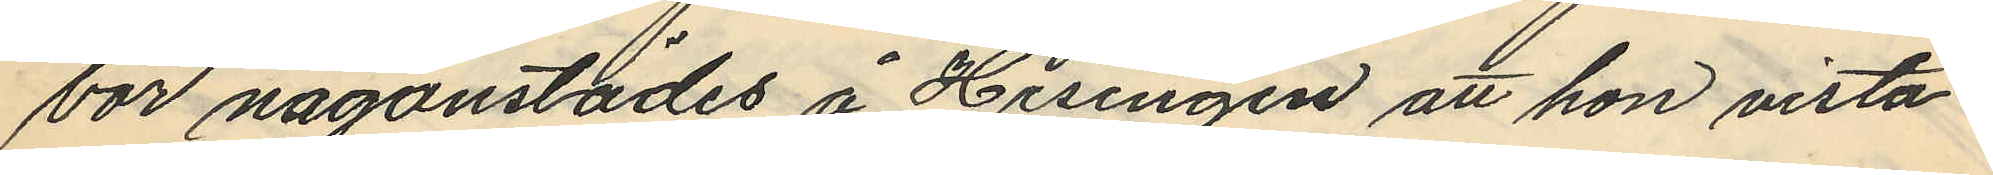bor någonstädes å Hisingen att hon vista¬
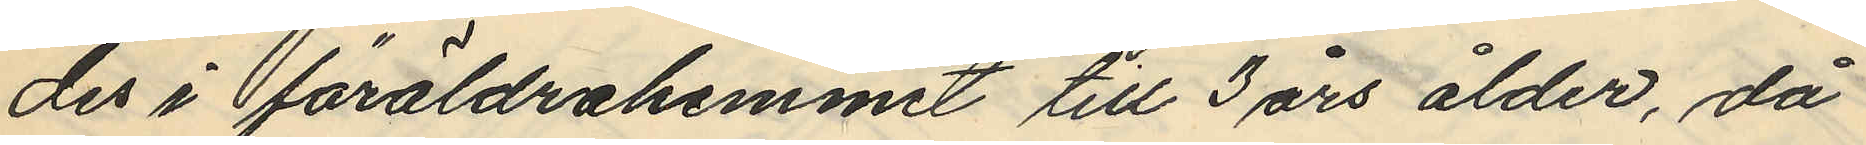des i föräldrahemmet till 3 års ålder, då
